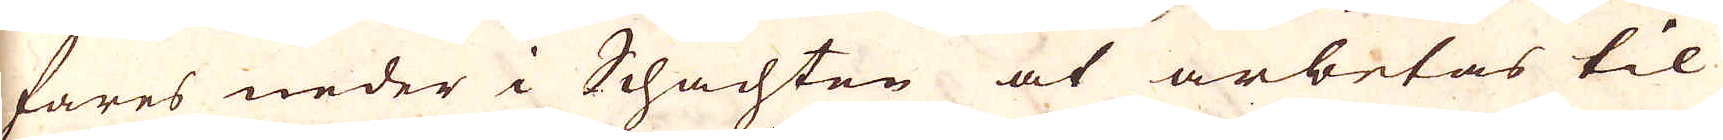fares neder i Schachten at arbetas til
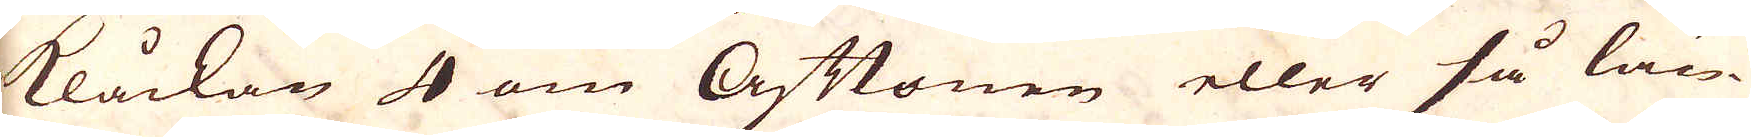klåckan 4 om Aftonen eller så län-
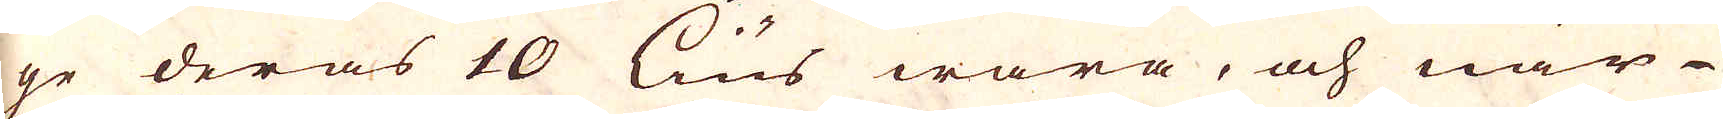ge deras 10 lius wara, och när
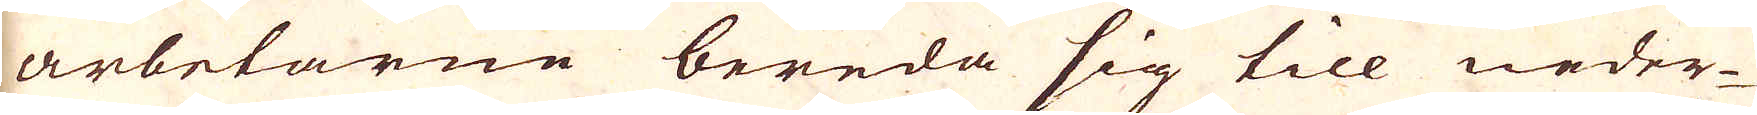arbetarne bereda sig till neder-
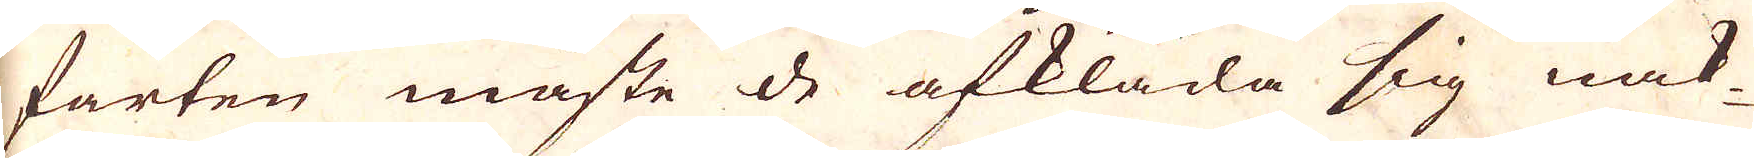farten måste de afkläda sig nak-
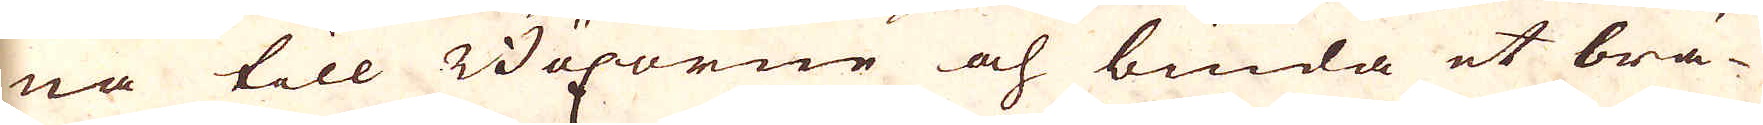na till Böxorne och binda et brä-
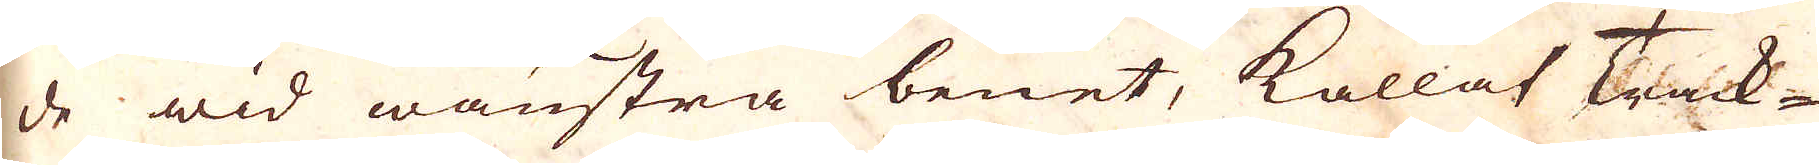de wid wänstra benet, kallat Track-
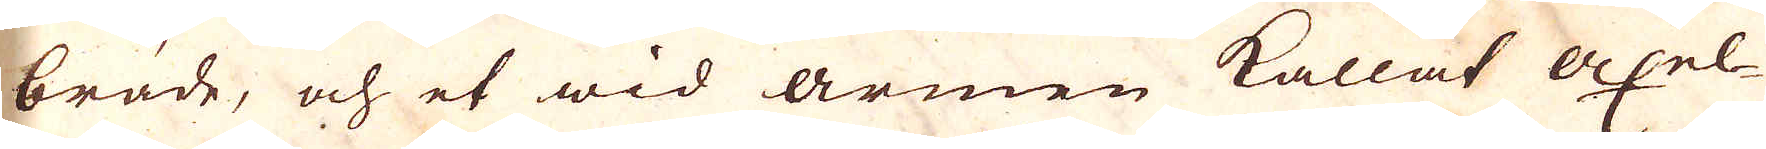bräde, och et wid armen kallat axel-
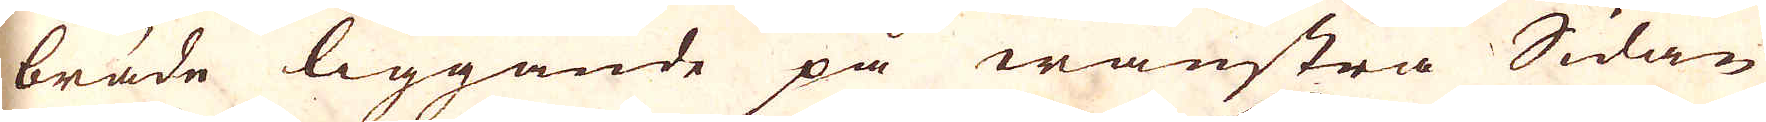bräde liggande på wänstra Sidan
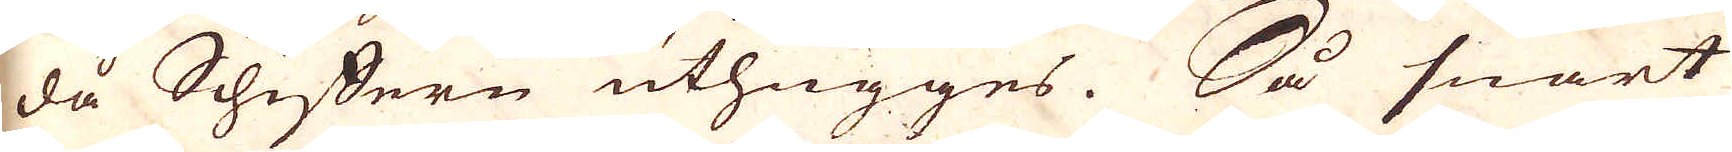då Schiffern uthugges. Så snart
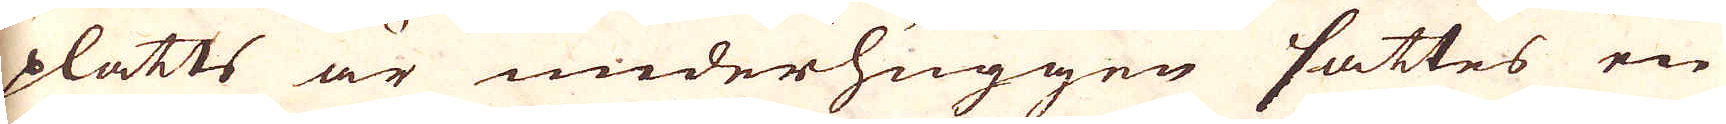platts är underhuggen sättes en
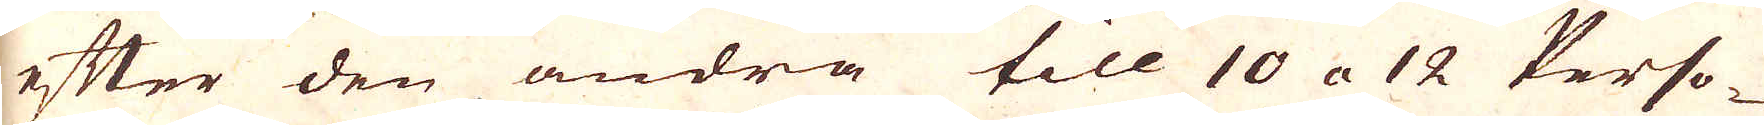efter den andra till 10 a 12 Perso-
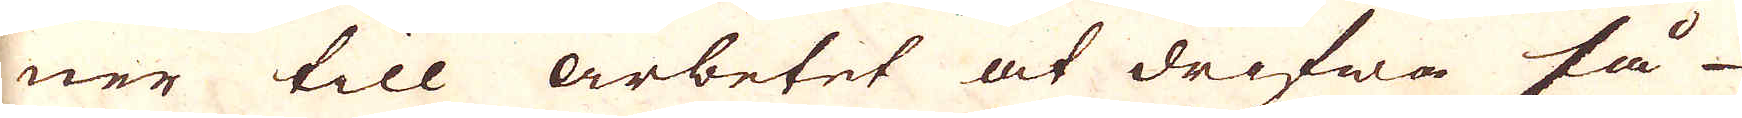ner till arbetet at drifwa så
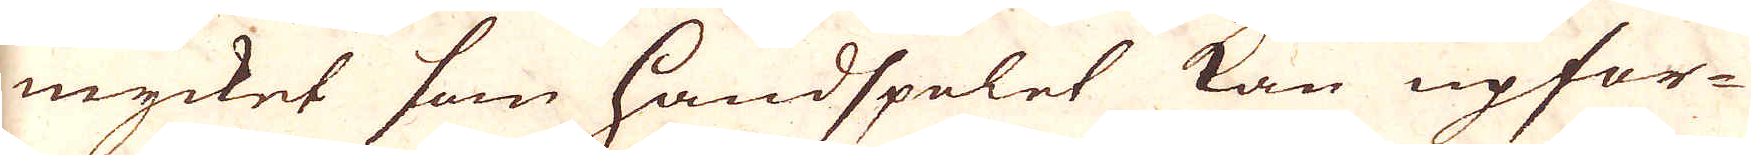mycket som handspelet kan upfor-
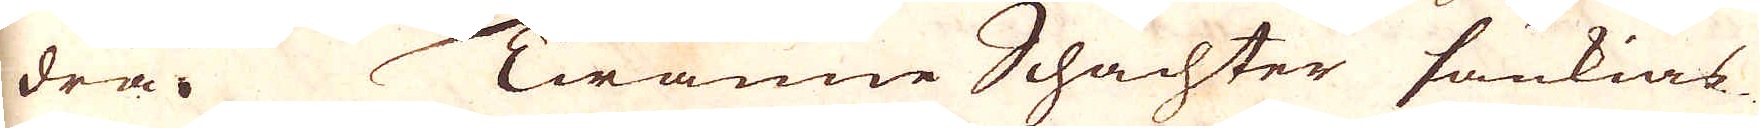dra. Twänne Schachter sänkias
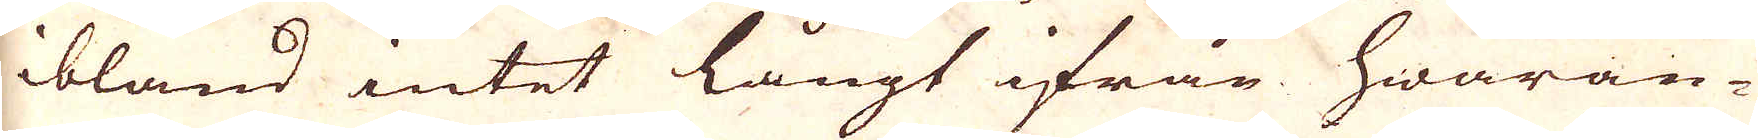ibland intet långt ifrån hwaran-
